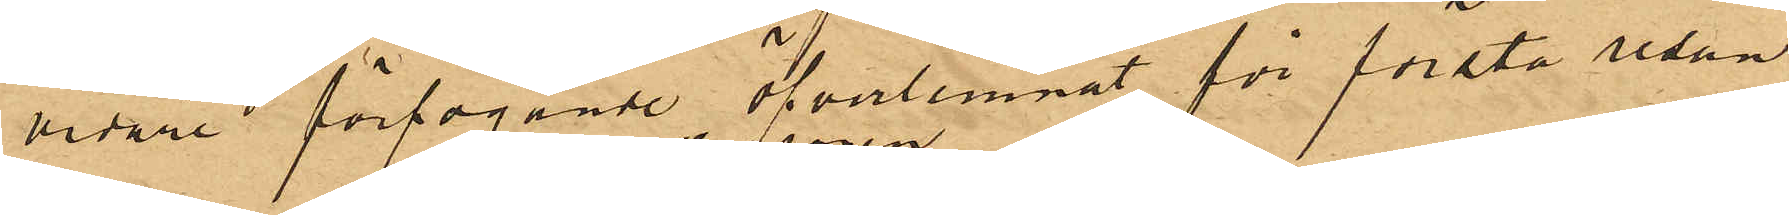vidare förfogande öfverlemnat för första resan
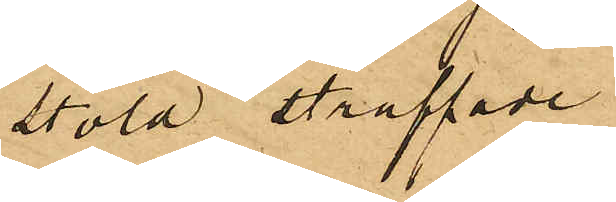stöld straffade
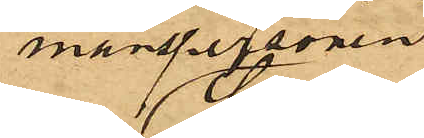manspersonen
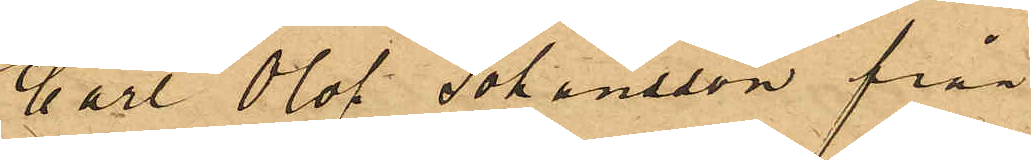Carl Olof Johansson från
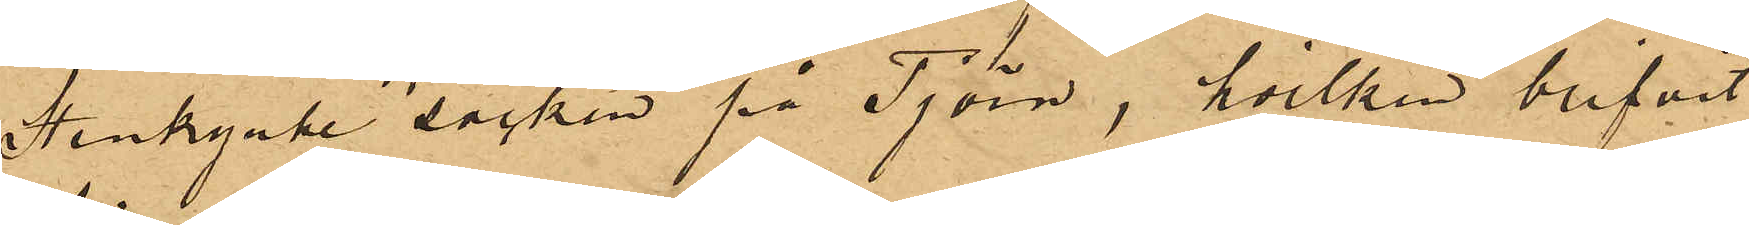Stenkyrke socken på Tjörn, hvilken blifvit
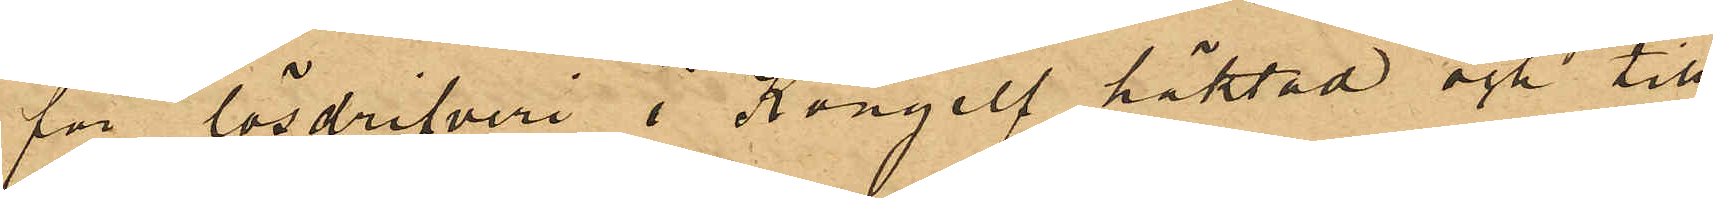för lösdrifveri i Kongelf häktad och till
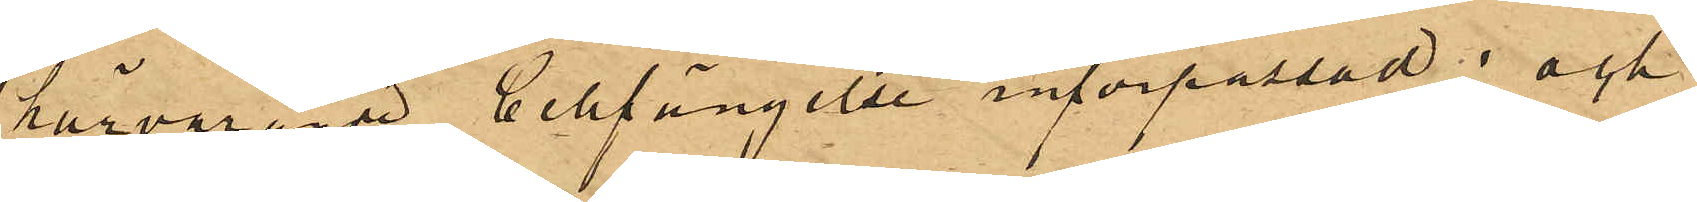härvarande Cellfängelse införpassad; och
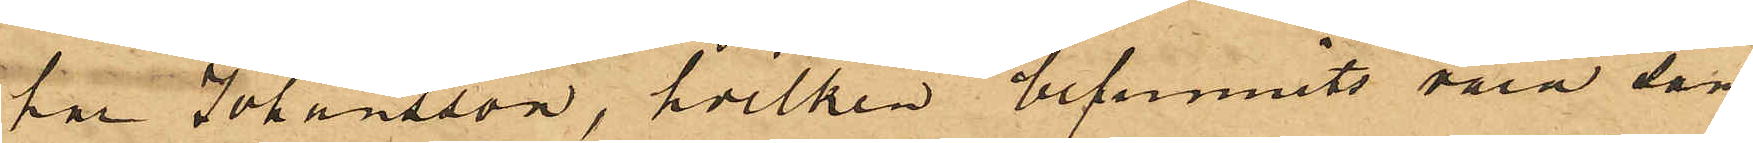har Johansson, hvilken befunnits vara sam¬
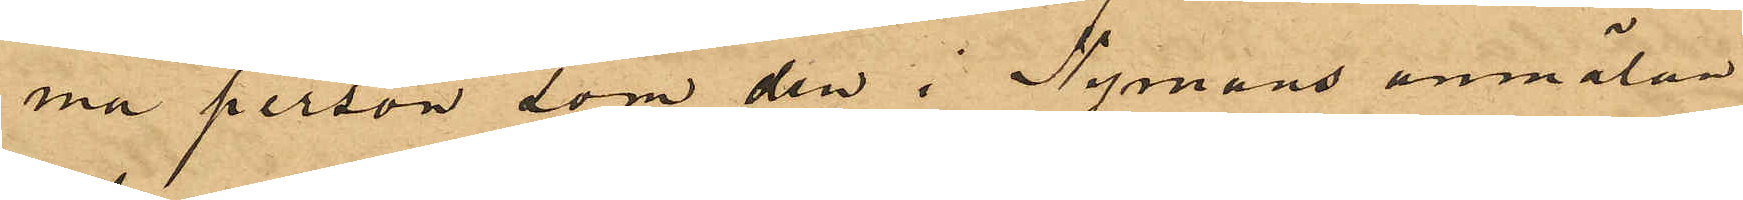ma person som den i Nymans anmälan
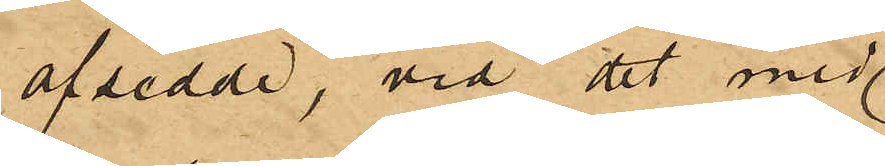afsedde, vid det med
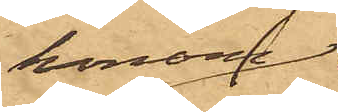honom
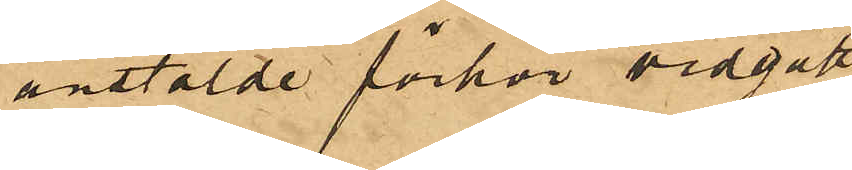anstälde förhör vidgått.
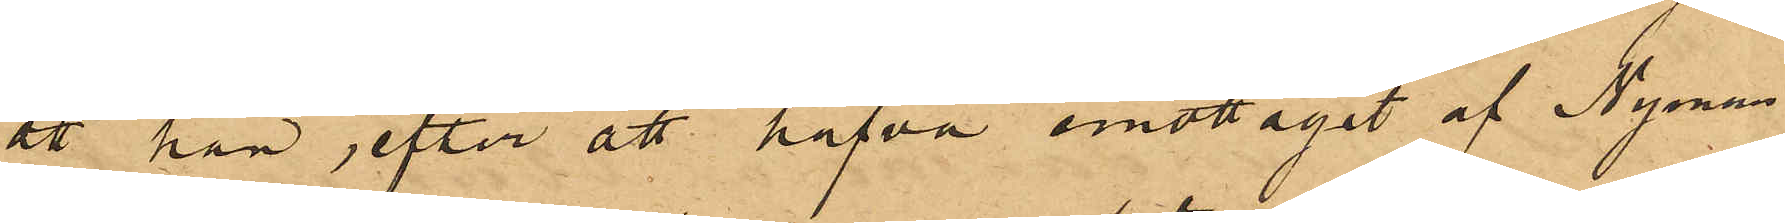att han, efter att hafva emottagit af Nyman
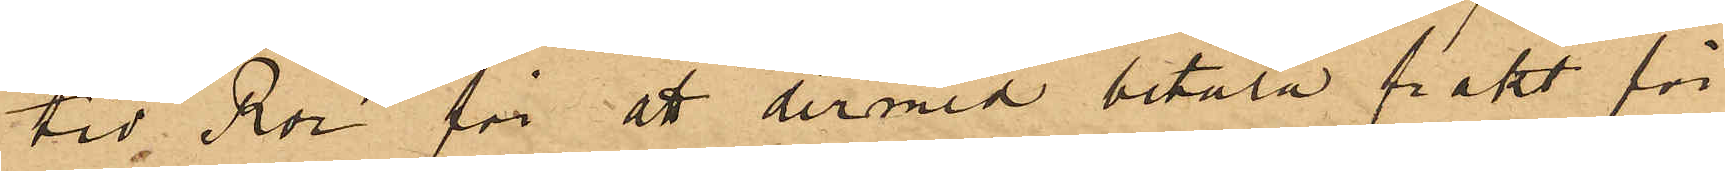tio Rdr för att dermed betala frakt för
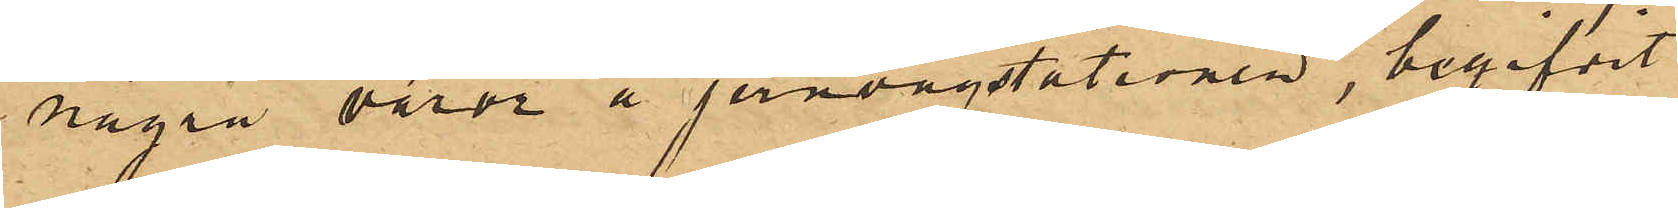några varor å jernvägstationen, begifvit
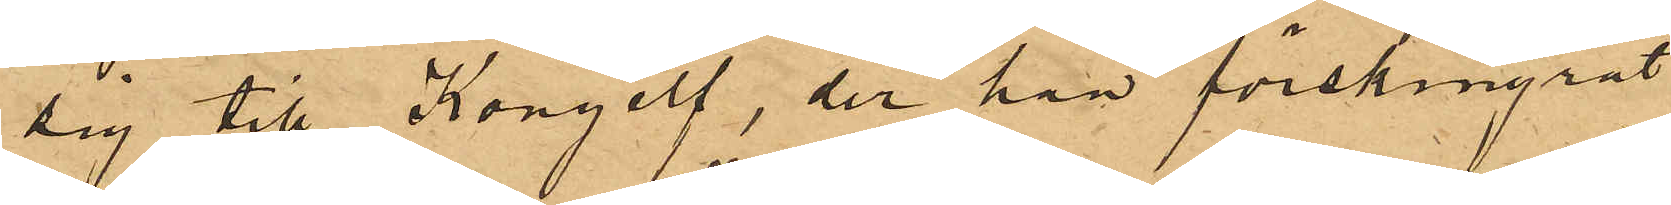sig till Kongelf, der han förskingrat
